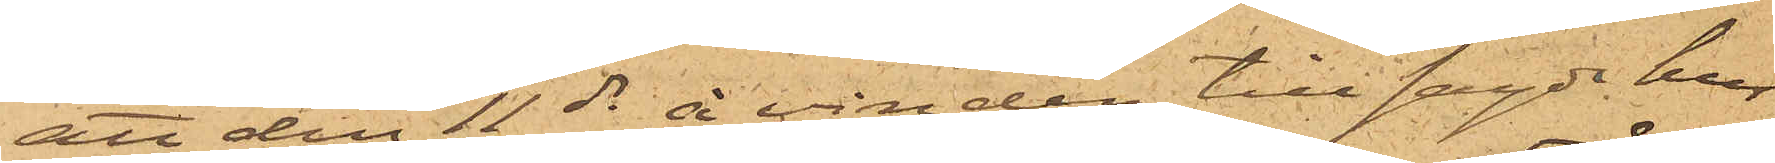att den 11 ds å vinden till sagde hus
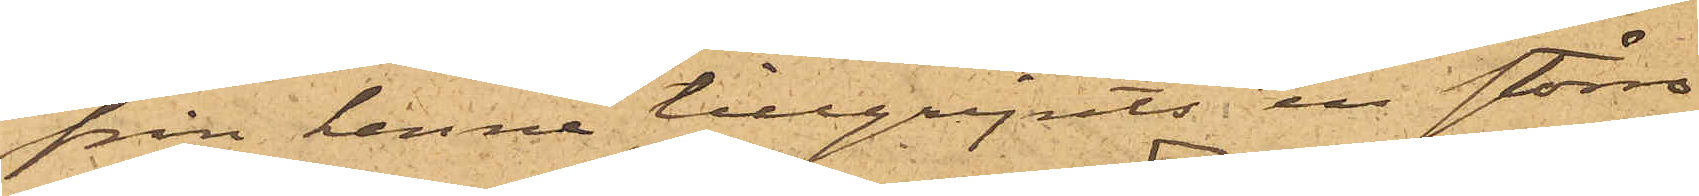från henne tillgripits en större
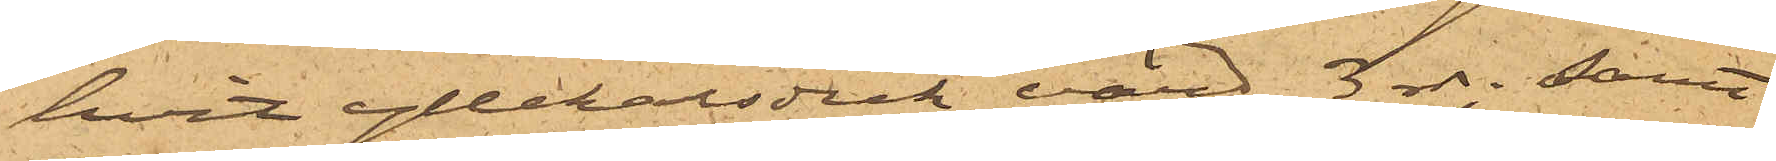hvit yllehalsduk, värd 3 rdr; samt
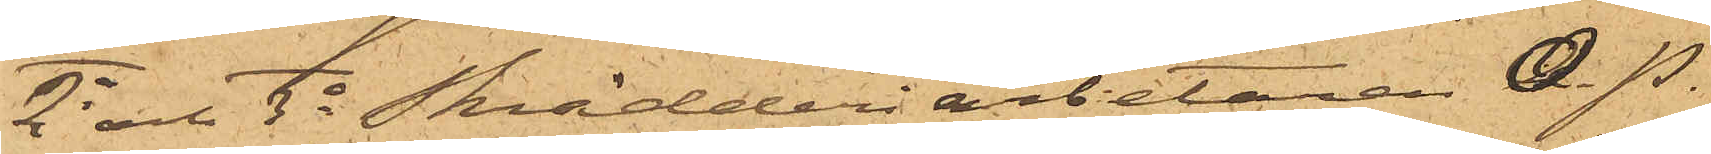2o och 3o Skrädderiarbetaren O.P.
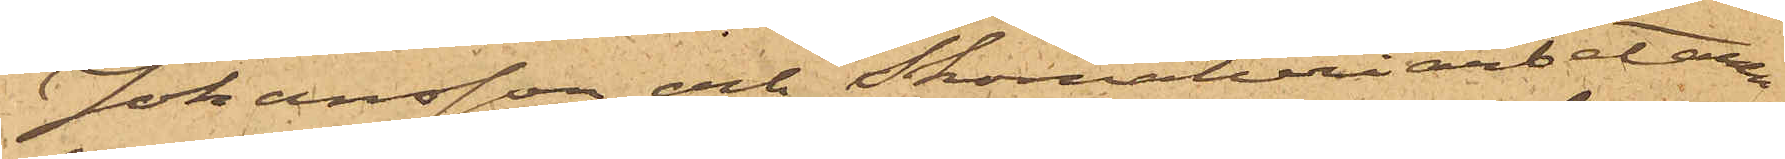Johansson och Skomakeriarbetaren
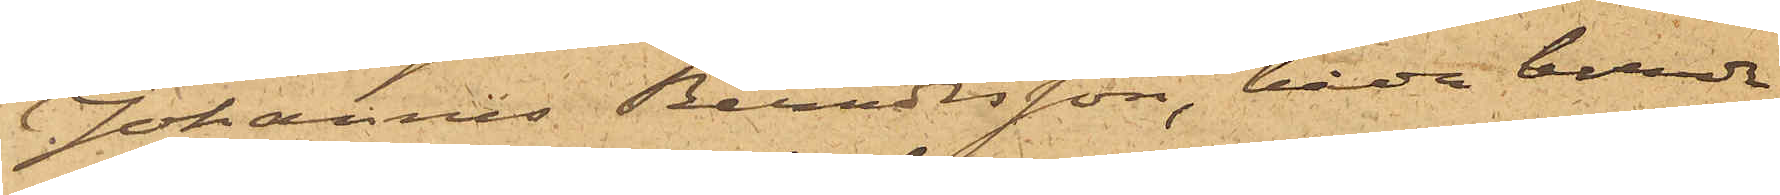Johannes Berndtsson, båda boende
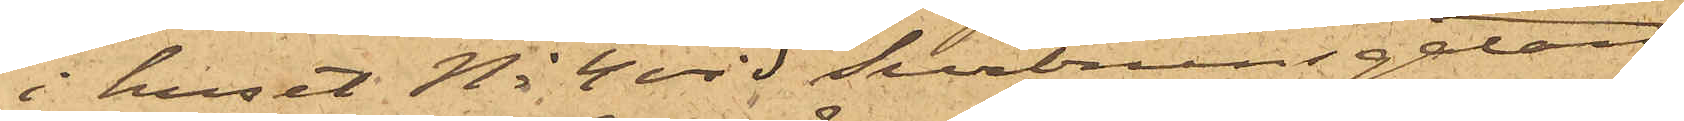i huset No 4 vid Surbrunnsgatan,
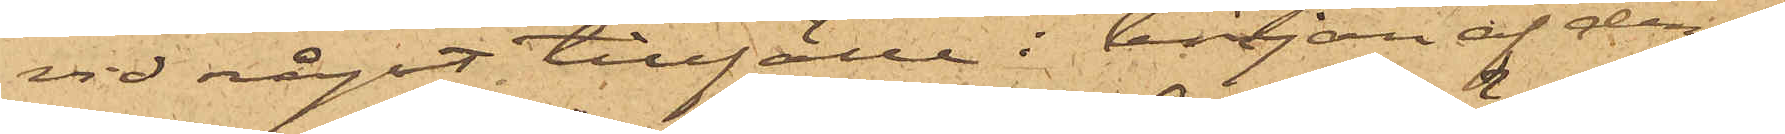vid någit tillfälle i början af den¬
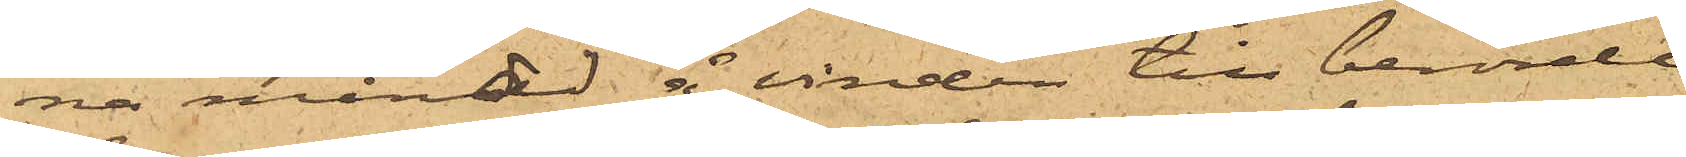na månad å vinden till berörde
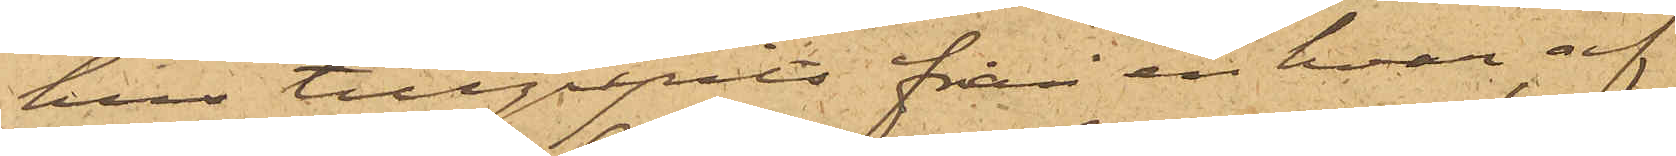hus tillgripits från enhvar af
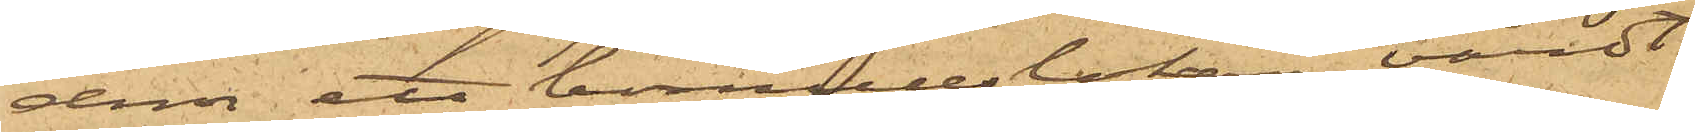dem ett bomullslakan värdt
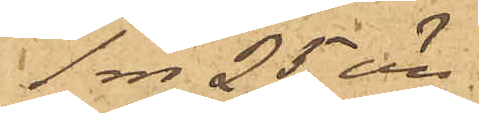1 rdr 25 öre.
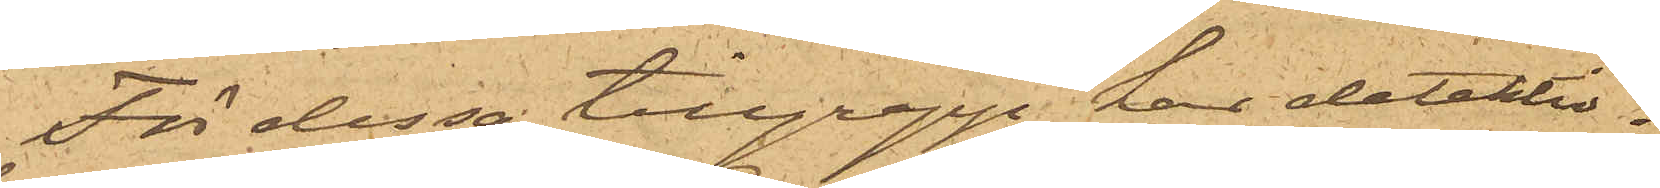För dessa tillgrepp har detektiv¬
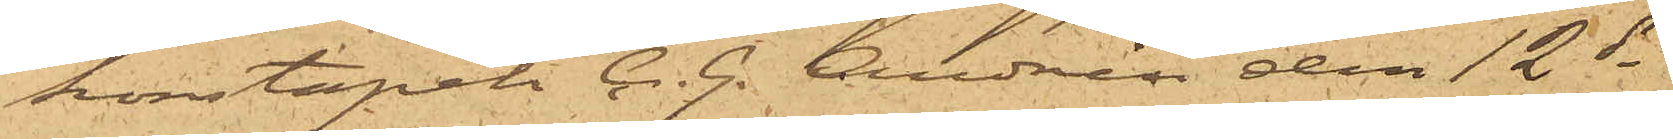konstapeln C. G. Andrén den 12 ds
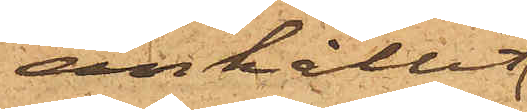anhållit
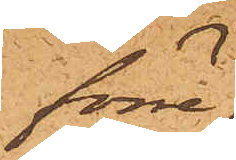förre
